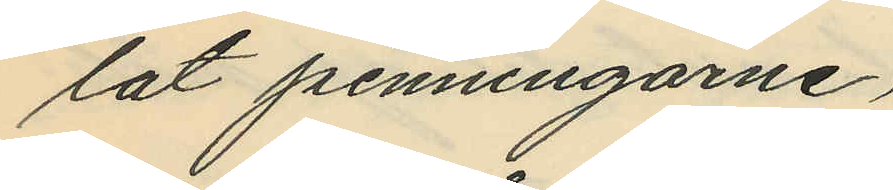lat penningarne,
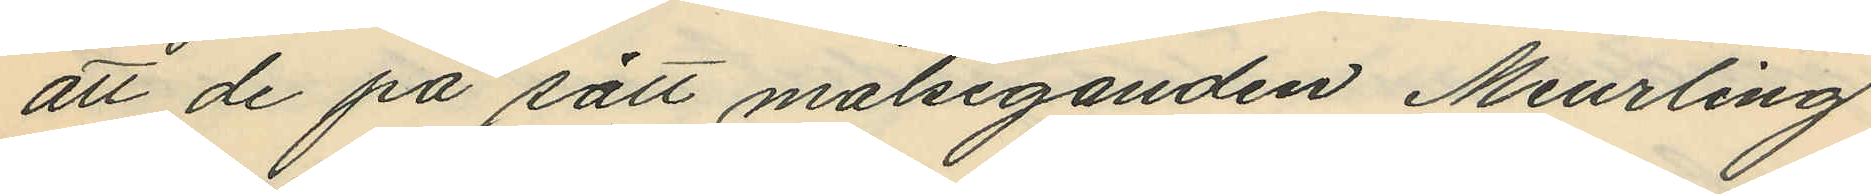att de på sätt målseganden Meurling
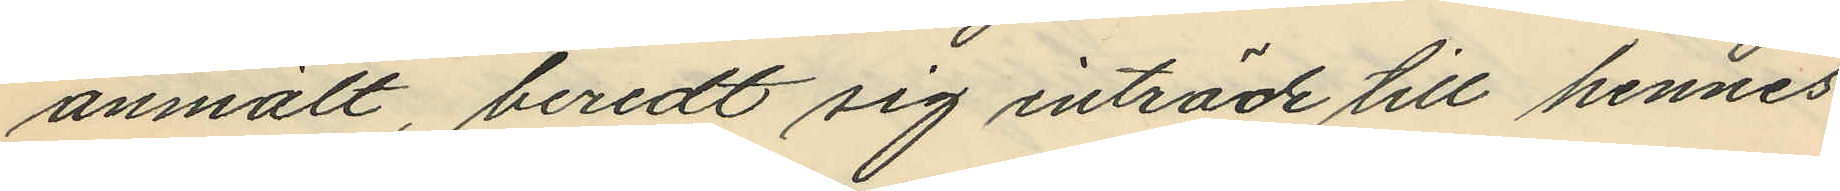anmält, beredt sig inträde till hennes
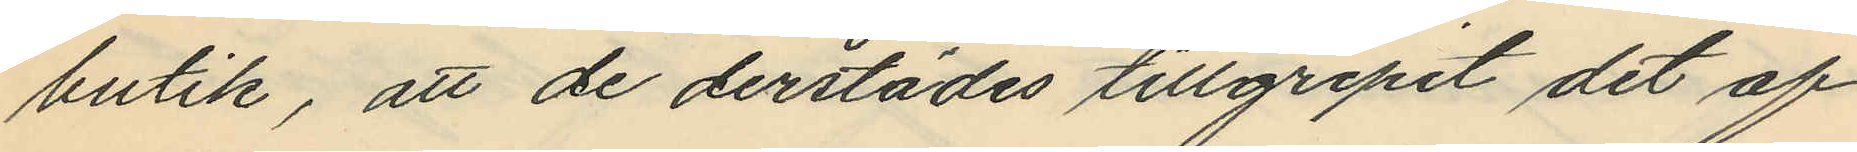butik, att de derstädes tillgripit det af
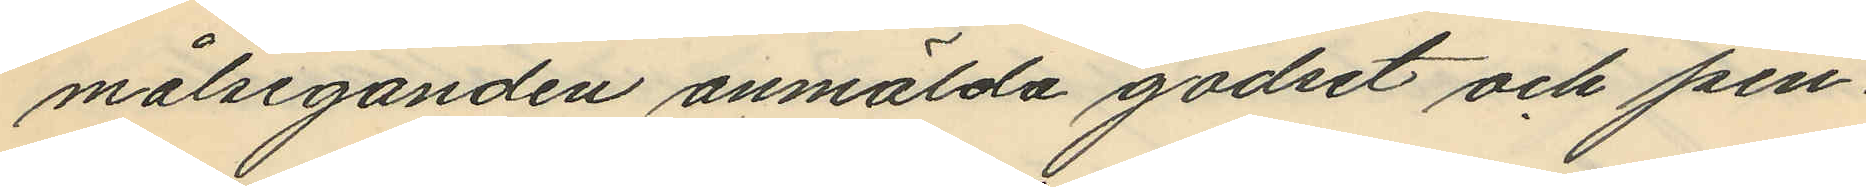målseganden anmälda godset och pen¬
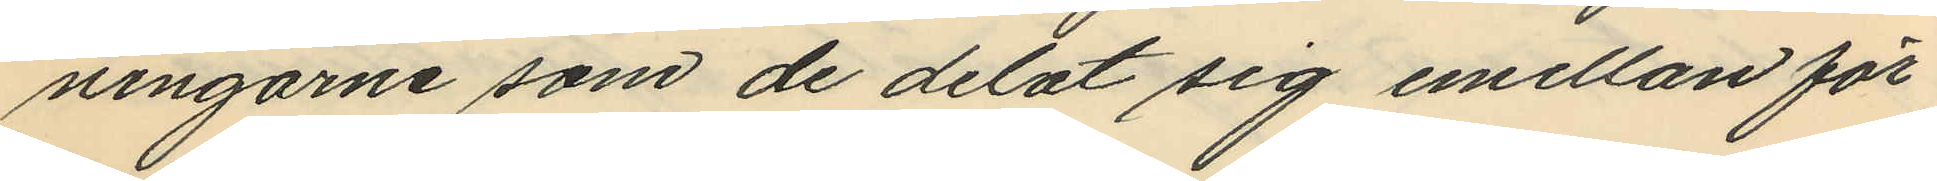ningarne som de delat sig emellan för
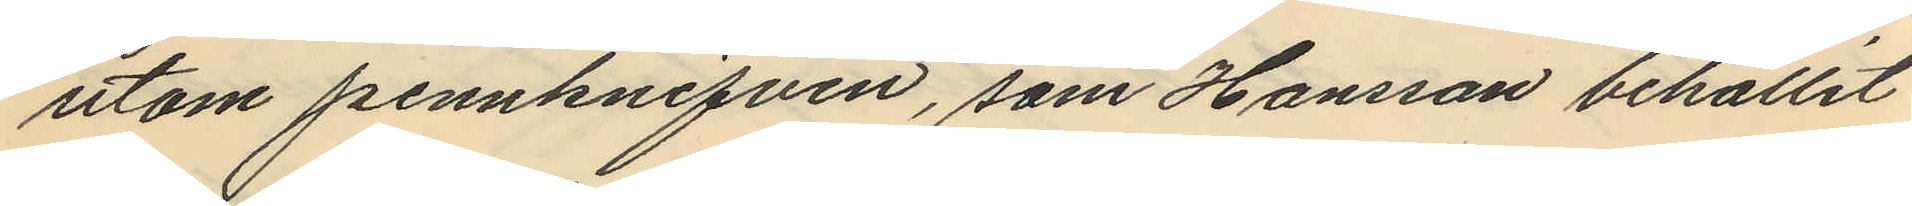utom pennknifven, som Hansson behållit
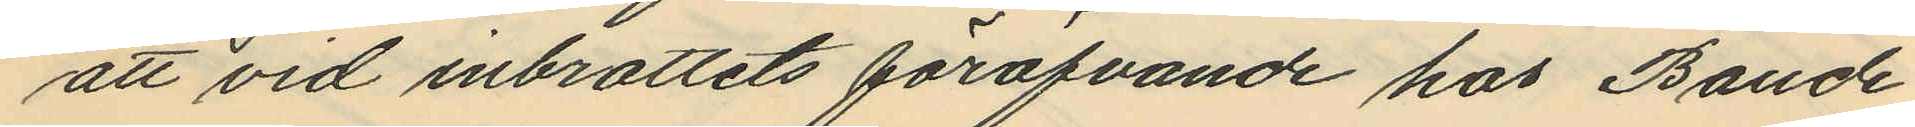att vid inbrottets föröfvande hos Baude
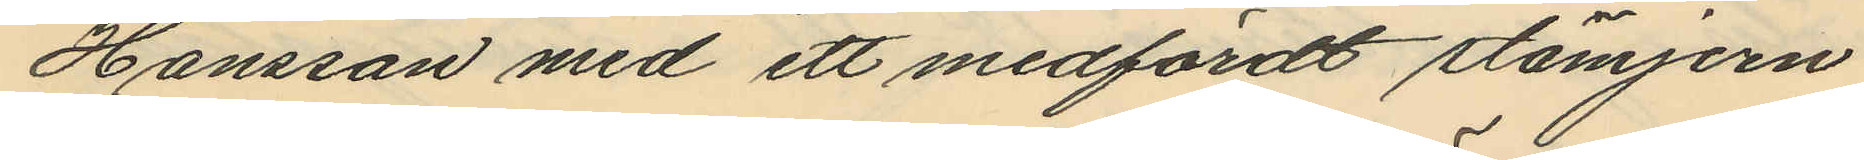Hansson med ett medfördt stämjern
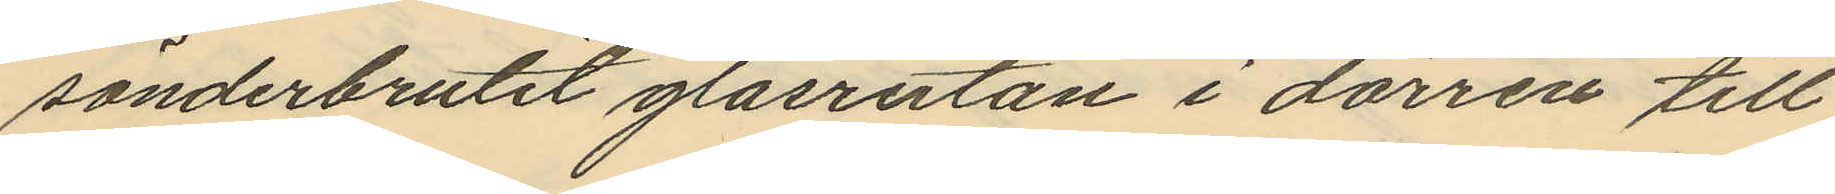sönderbrutit glasrutan i dörren till
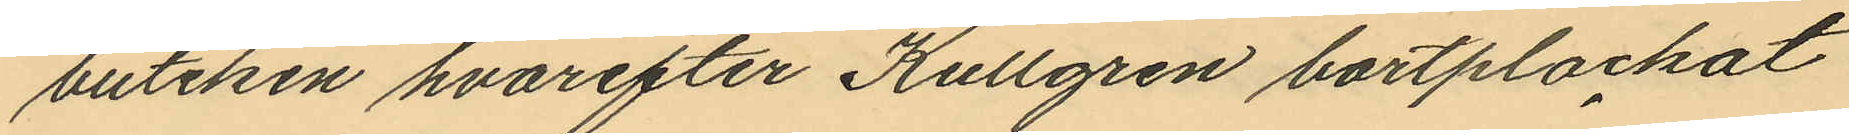butiken hvarefter Kullgren bortplockat
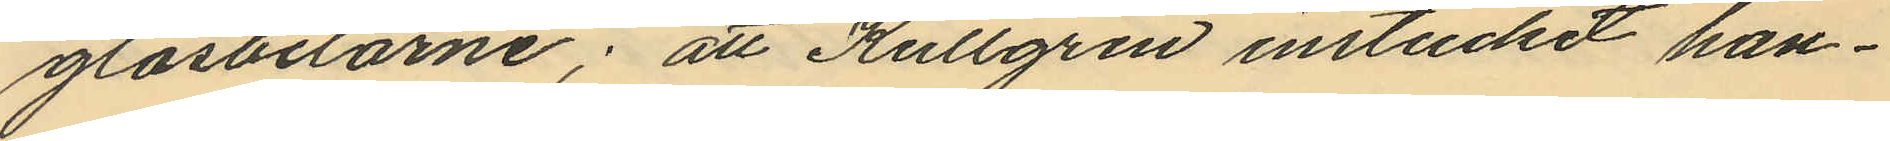glasbitarne; att Kullgren instuckit han¬
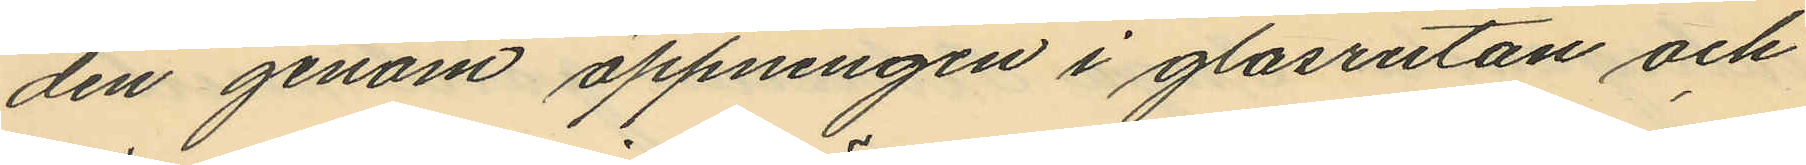den genom öppningen i glasrutan och
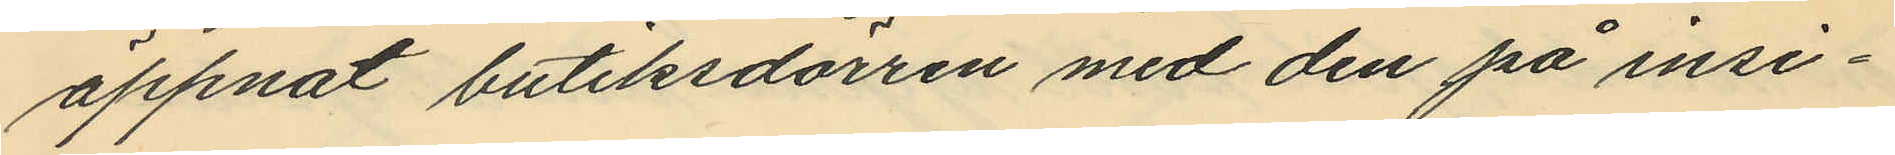öppnat butiksdörren med den på insi¬
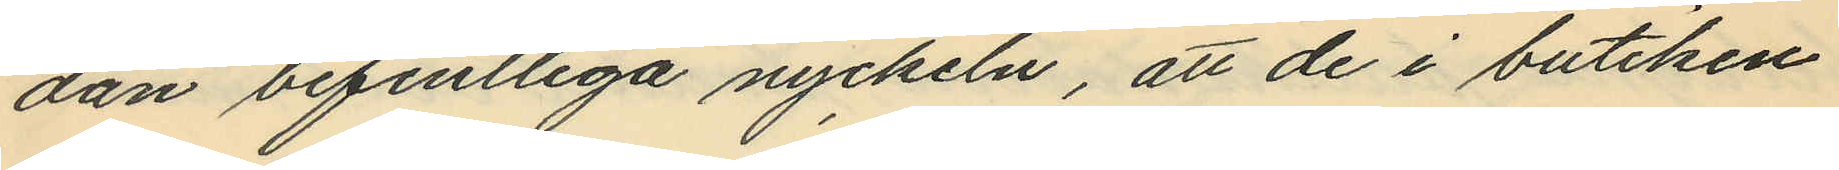dan befintliga nyckeln, att de i butiken
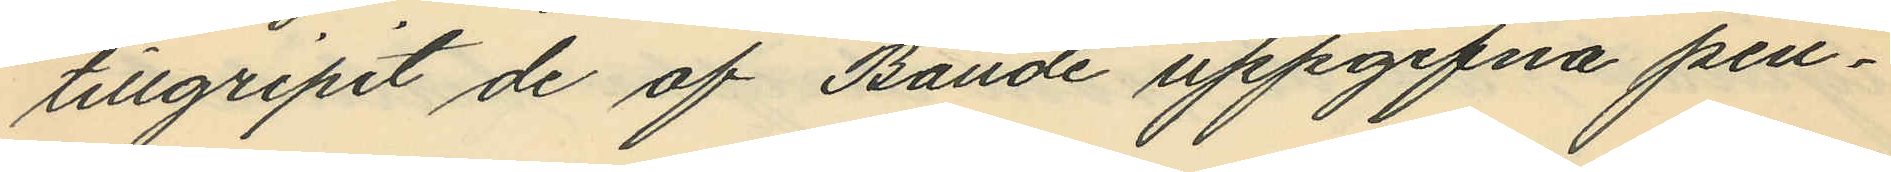tillgripit de af Baude uppgifna pen¬
